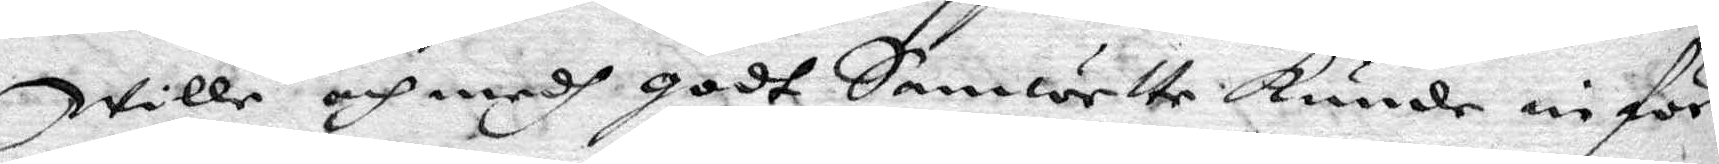Wille och medh godt Samwette kunde inför
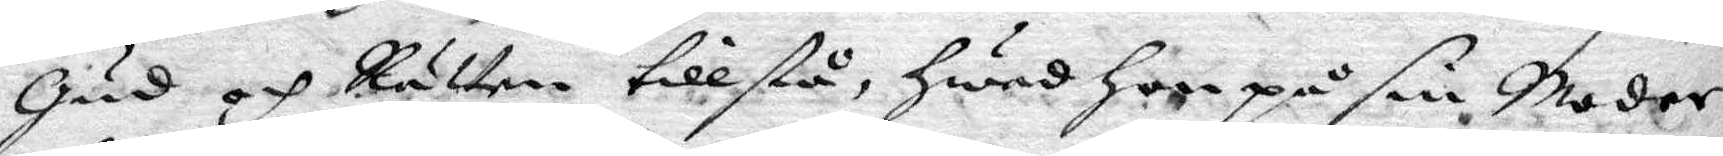gud och Rätten tillstå hwad hon på sin Moder
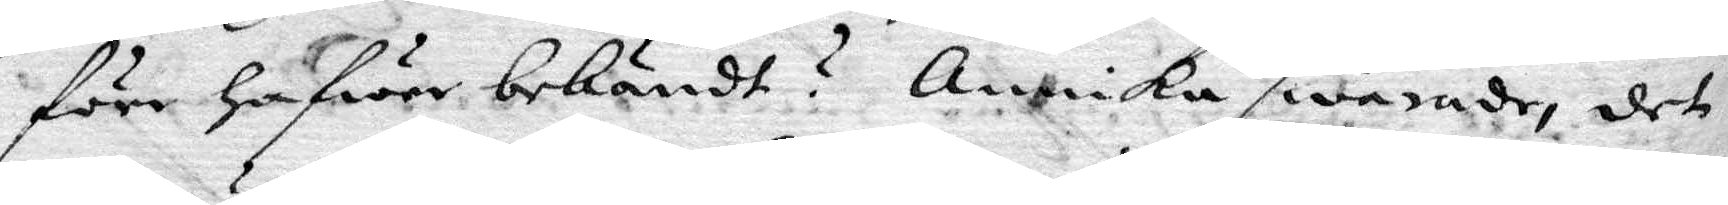förr hafwer bekändt? Annika swarade, det
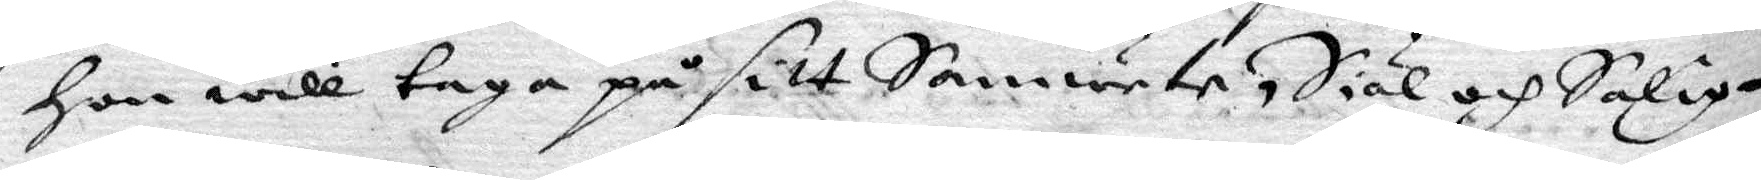hon will taga på sitt Samwete, Siäl och Salig¬
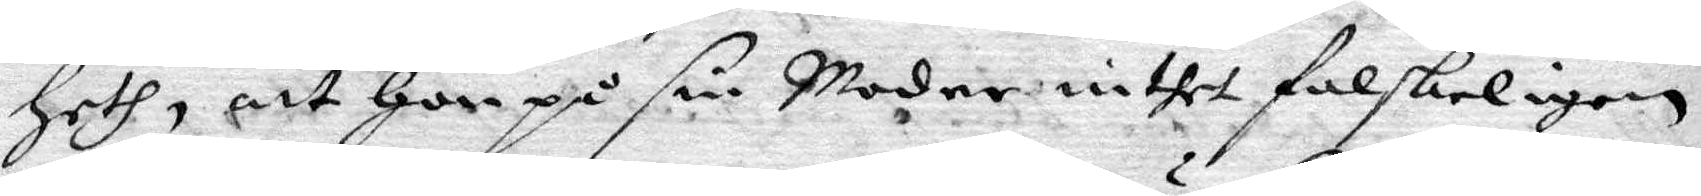heth, att hon på sin Moder inthet falskeligen
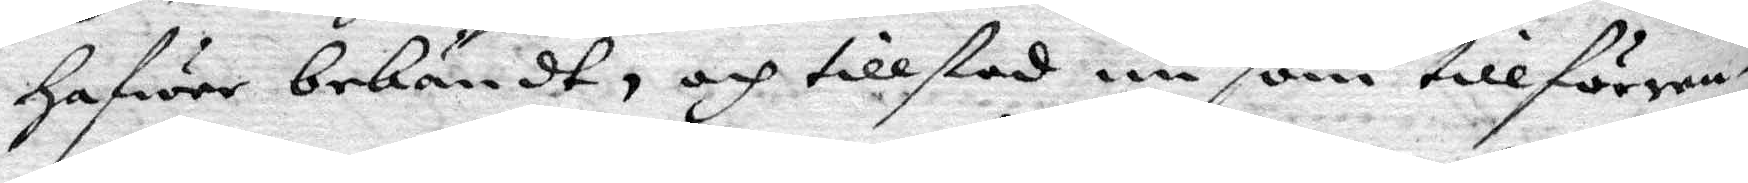hafwer bekändt, och tillstod nu som tillförene¬
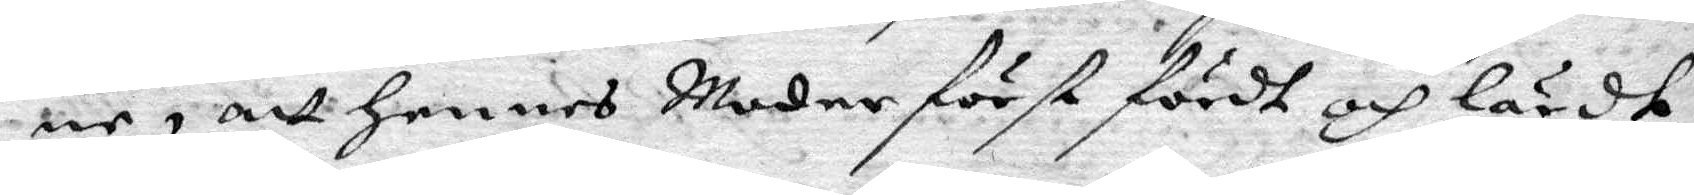ne, att hennes Moder först fördt och lärdt
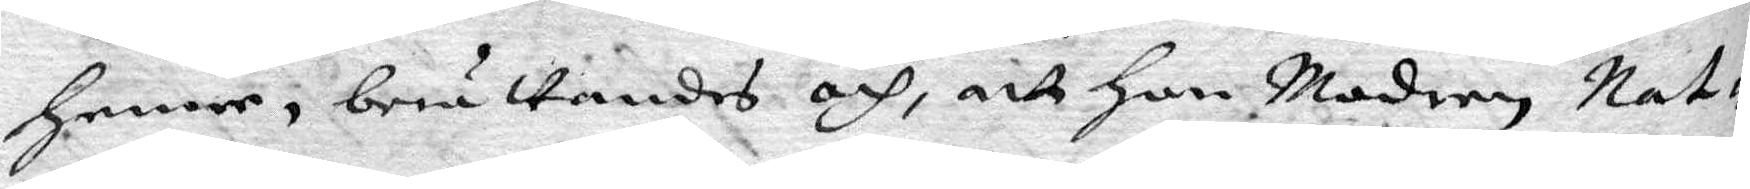henne, berättandes och, att hon Modren, nat¬
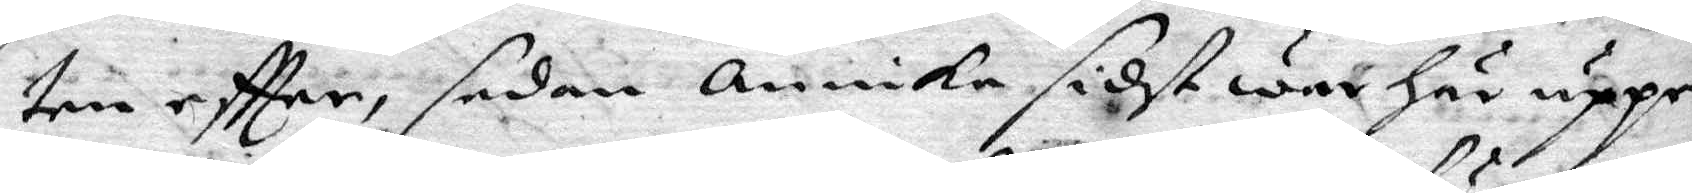ten eftter, sedan Annika sidst war här uppe
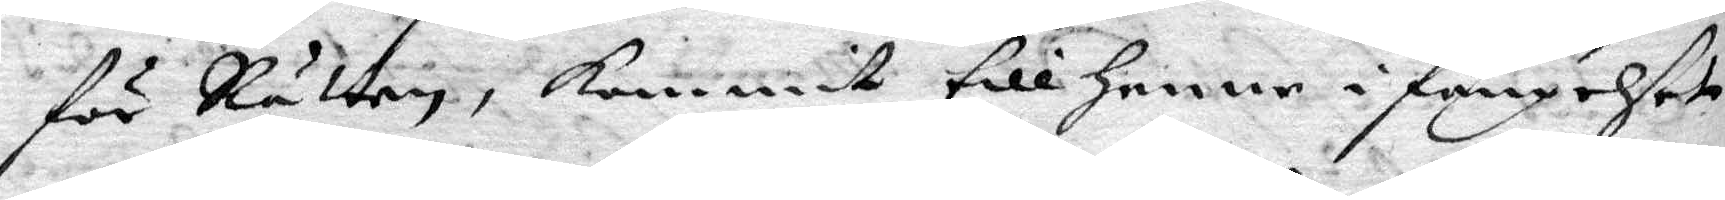för Rätten, kommit till henne i fängehset
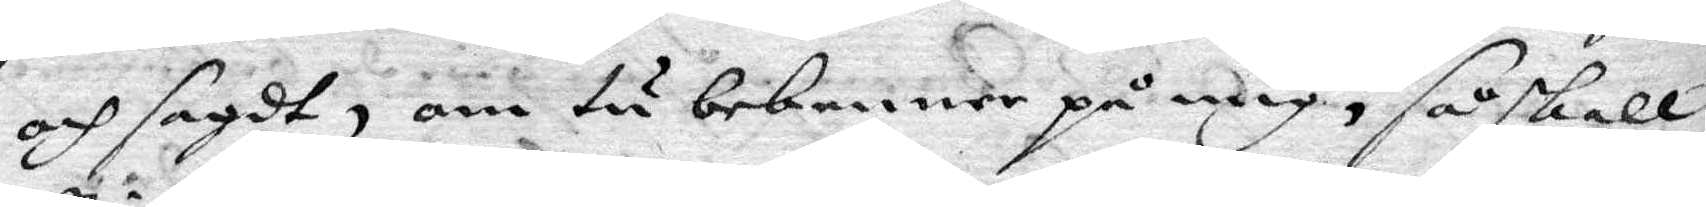och sagdt, om tu bekenner på mig, så skall
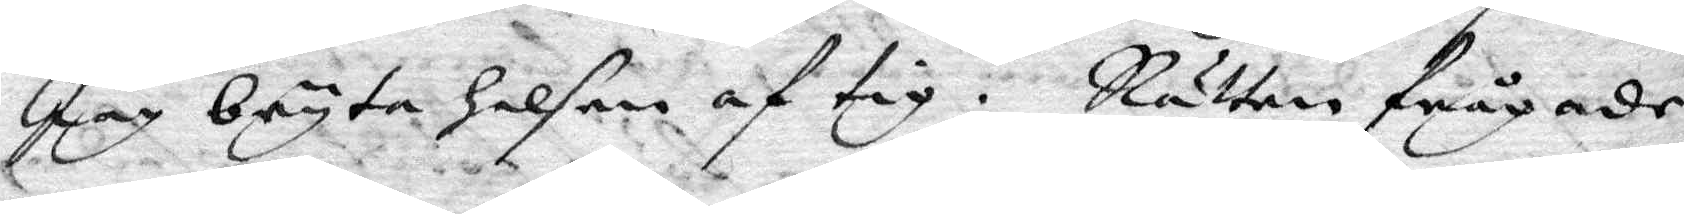Jag bryta halsen af tig. Rätten frågade
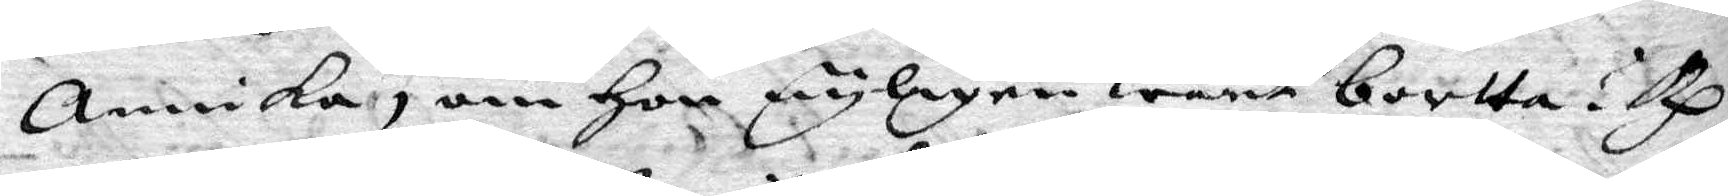Annika, om hon nyligen warit bortta? Rp
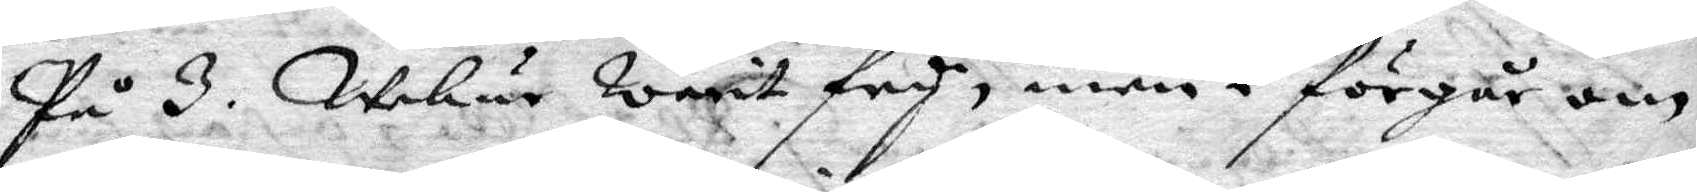På 3. Wekur warit fry, men i förgår om
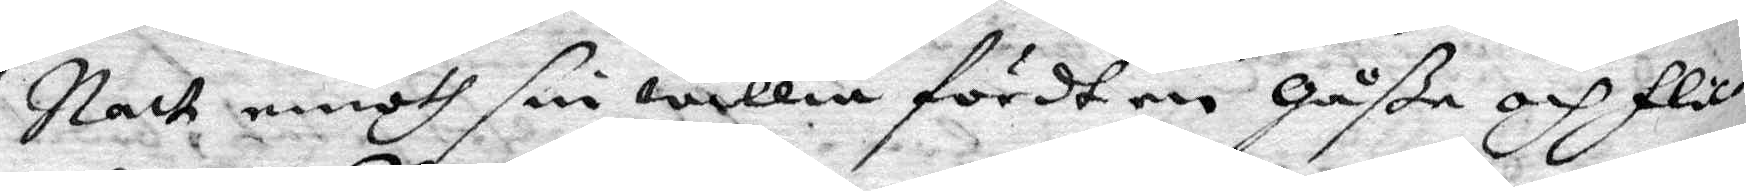Natt emoth sin willia fördt en gåße och Flic¬
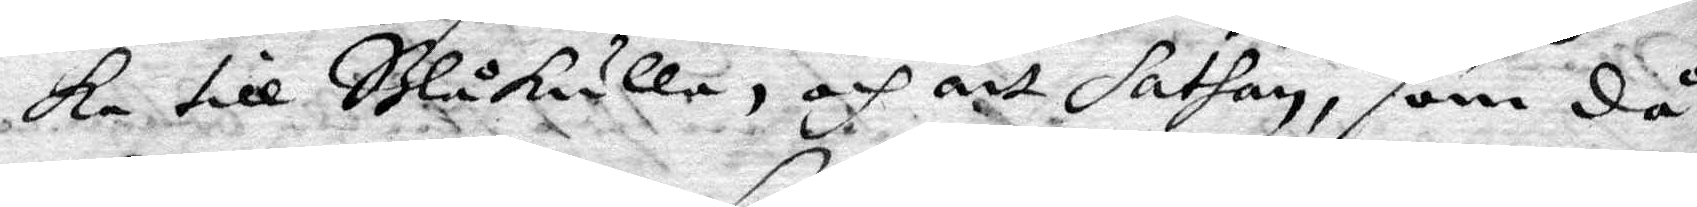ka till Blåkulla, och att Sathan, som då
